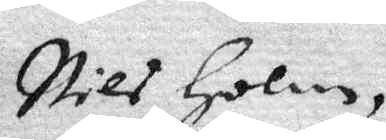Nils Holm,
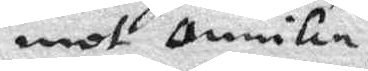mot annika
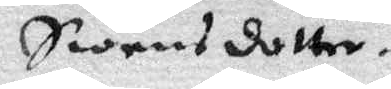Swens dotter.
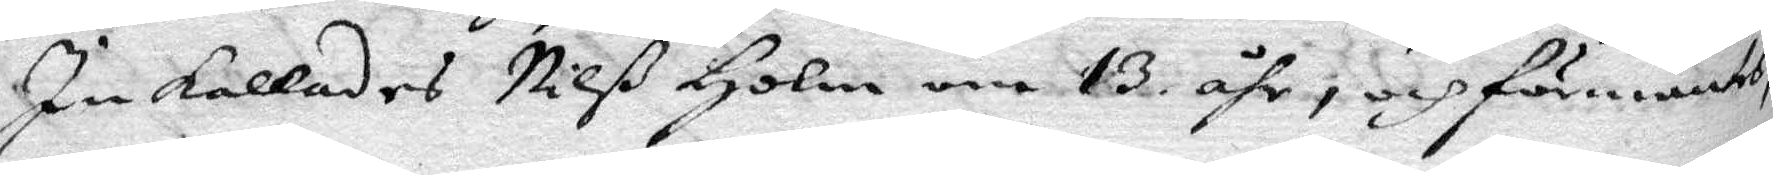Inkallades Nilß Holm, om 13 åhr, och förmantes
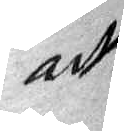att
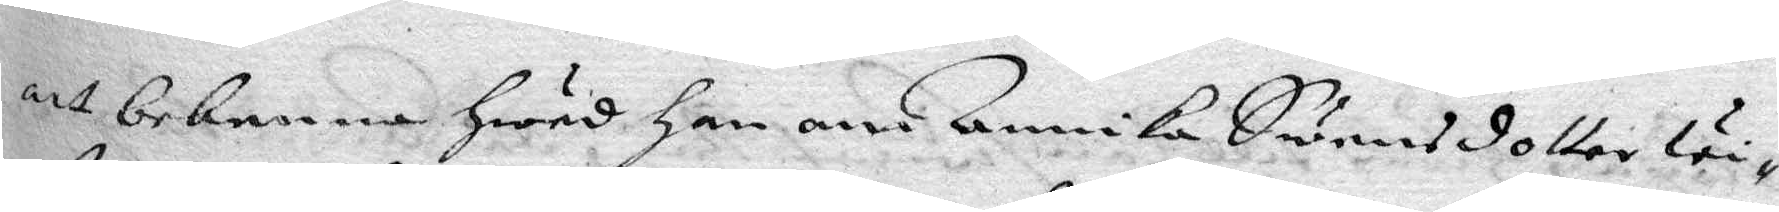att bekenna Hwad Han om Annika Swensdotter wi¬
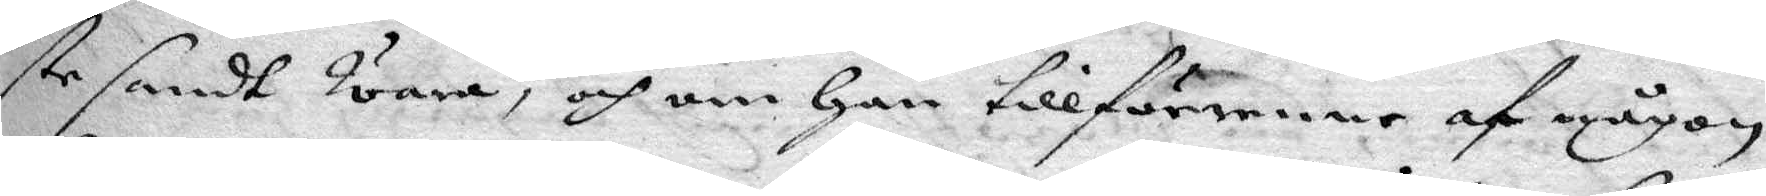ste sandt wara, och om Han tillförene af någon
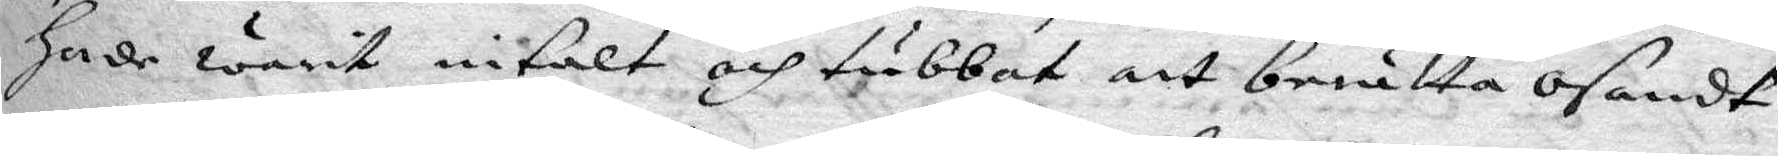hade warit intalt och tubbat att berätta osandt
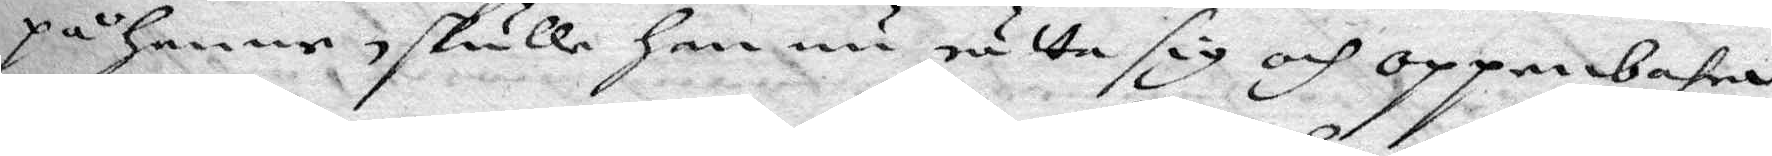på henne, skulle han nu rätta sig och oppenbara,
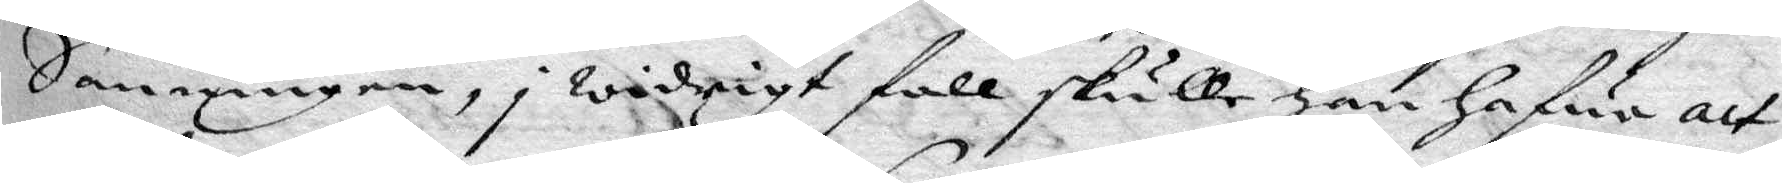Sanningen, i widrigt fall skulle han hafwa att
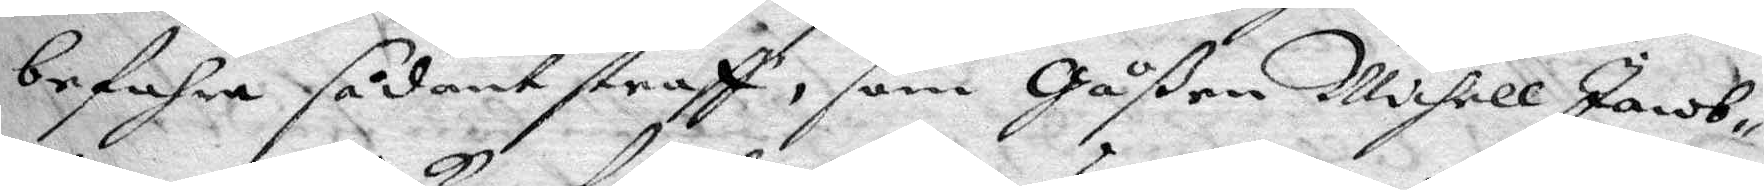befahra sådant straff, som Gåßen Michell Jacob¬
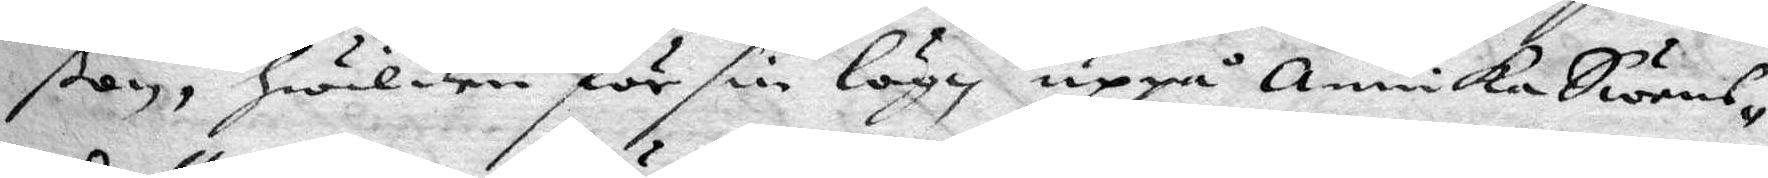ßon, hwilken för sin lögn uppå Annika Swens¬
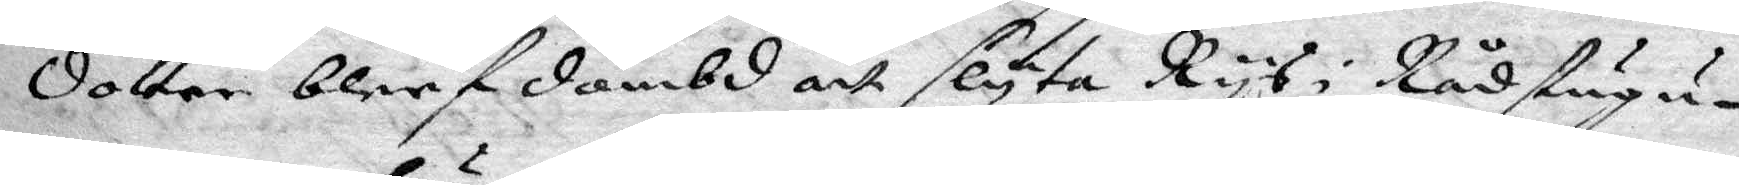dotter blef dömbd att slyta Rys i Rådstugu¬
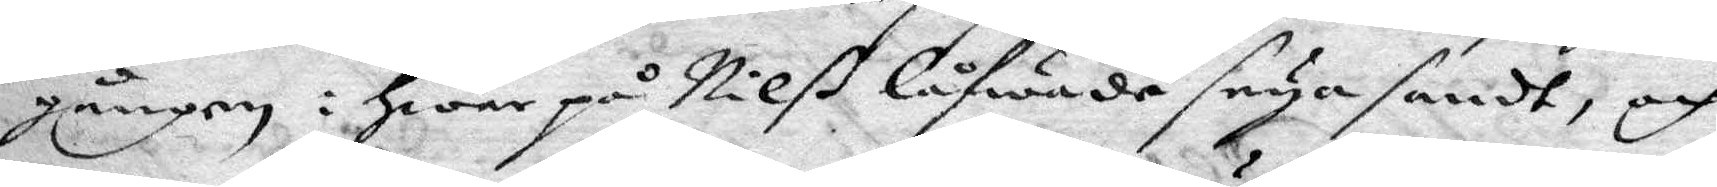gången; Hwarpå Nilß låfwade seya sandt, och
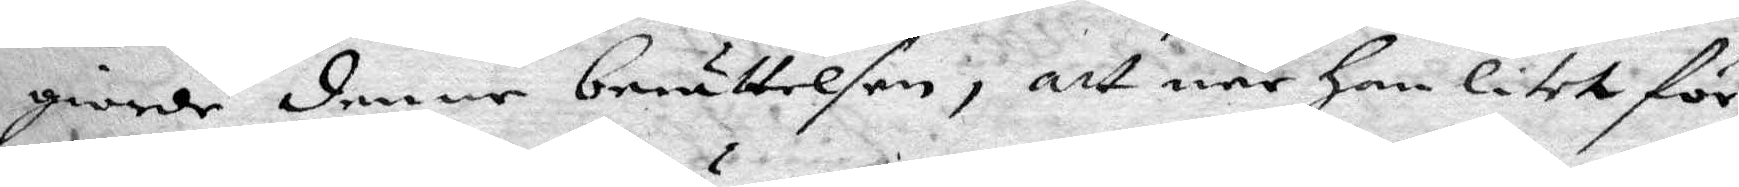giorde denne berättelsen, att när han litet för
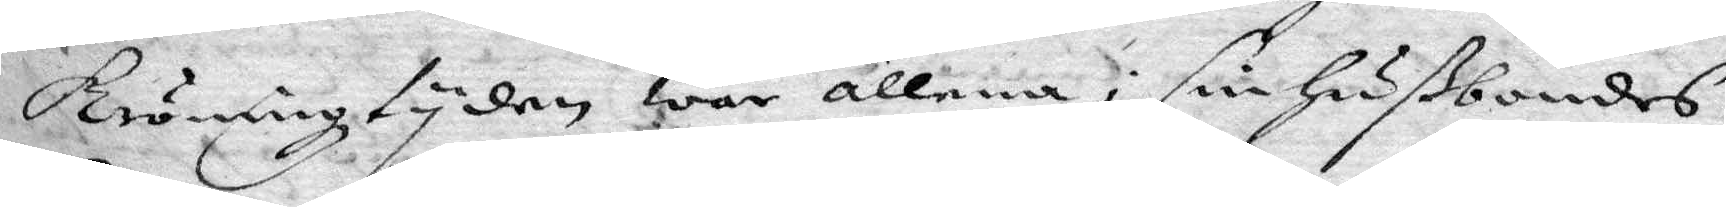kröningz tyden war allena i sin Hußbondes
